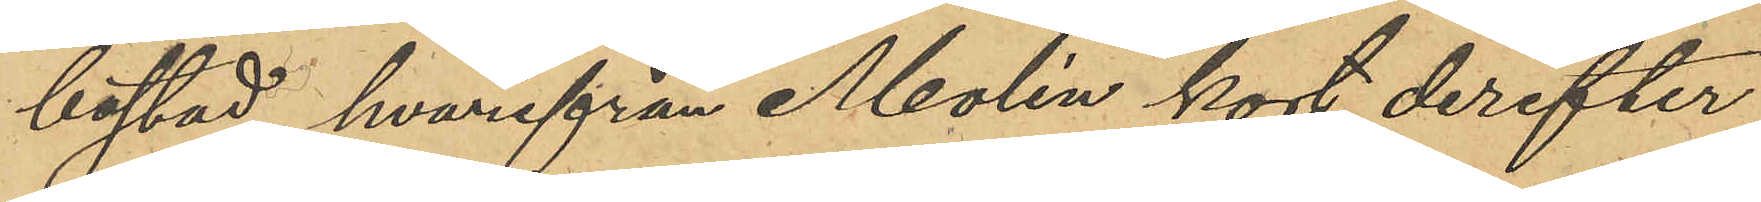bostad, hvarifrån Molén kort derefter
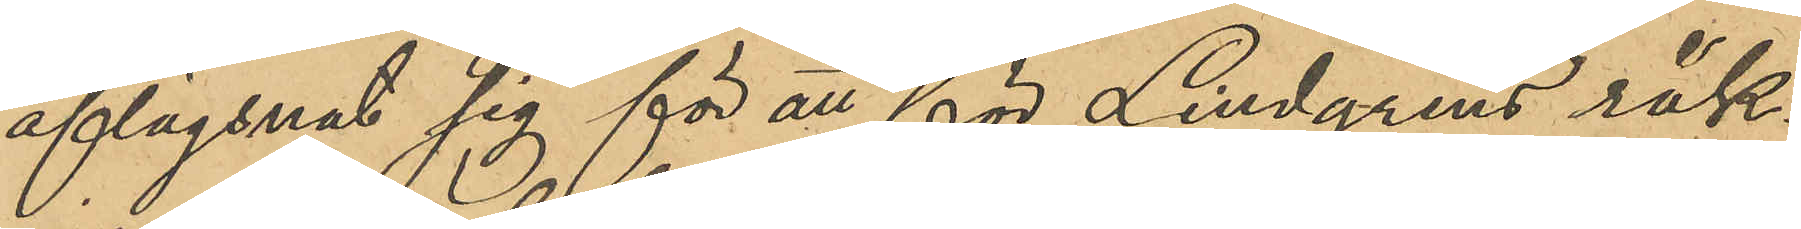aflägsnat sig för att för Lindgrens räk¬
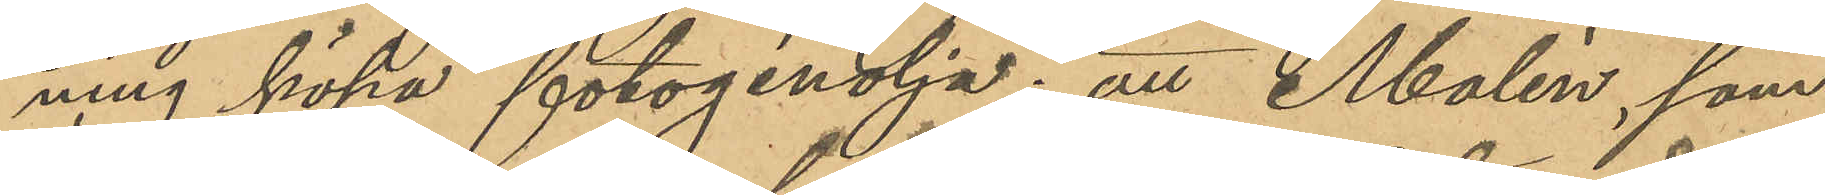ning köpa fotogénolja; att Molén, som
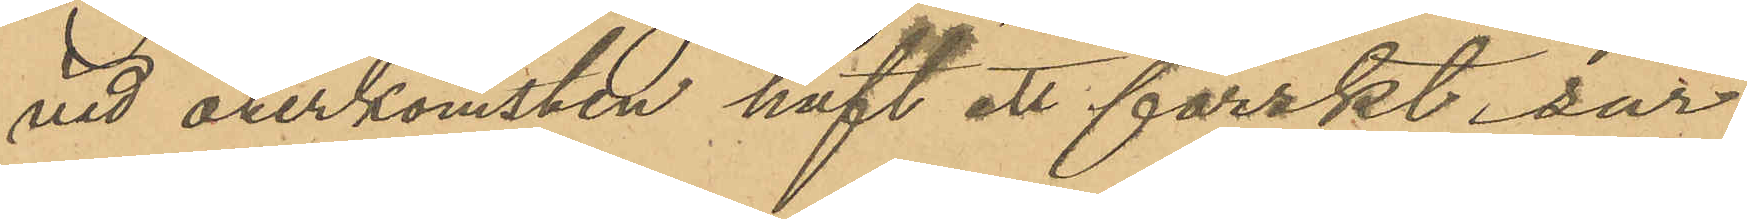vid återkomsten haft ett färskt sår
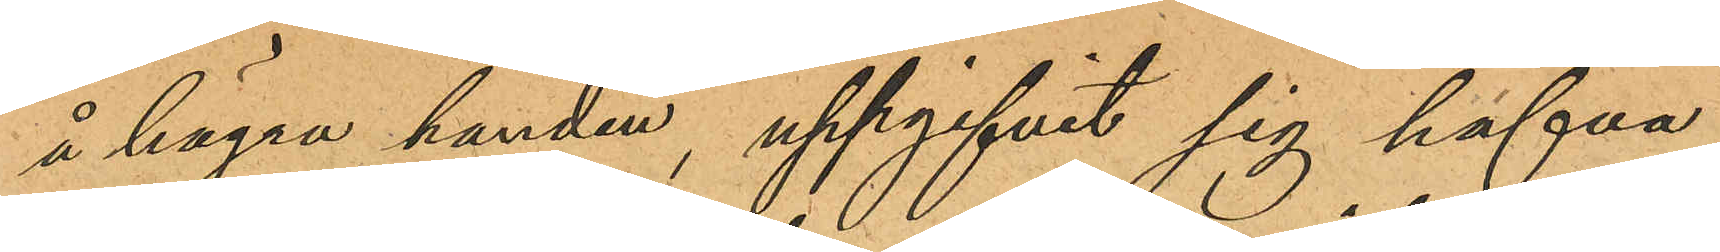å högra handen, uppgifvit sig hafva
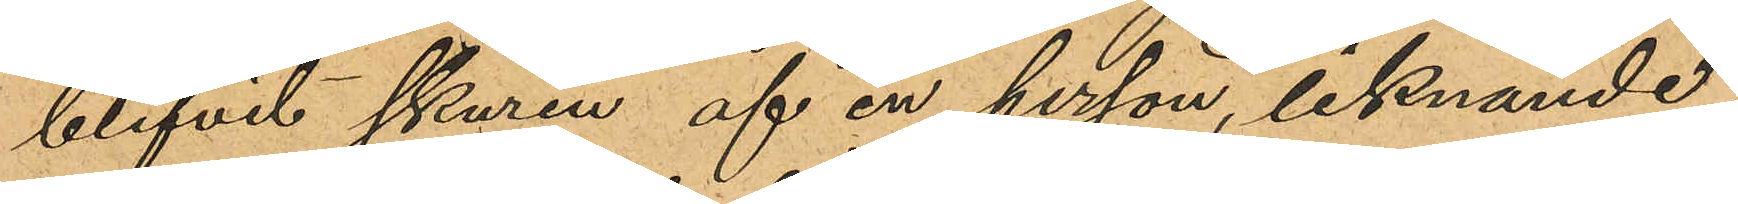blifvit skuren af en person, liknande
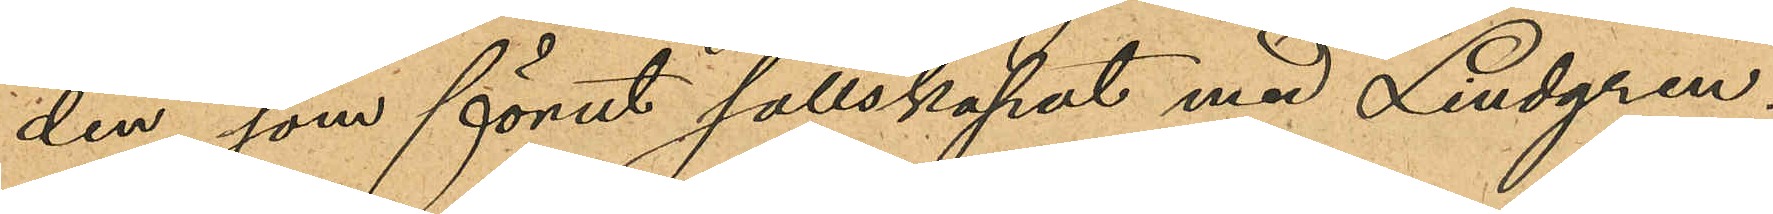den, som förut sällskapat med Lindgren;
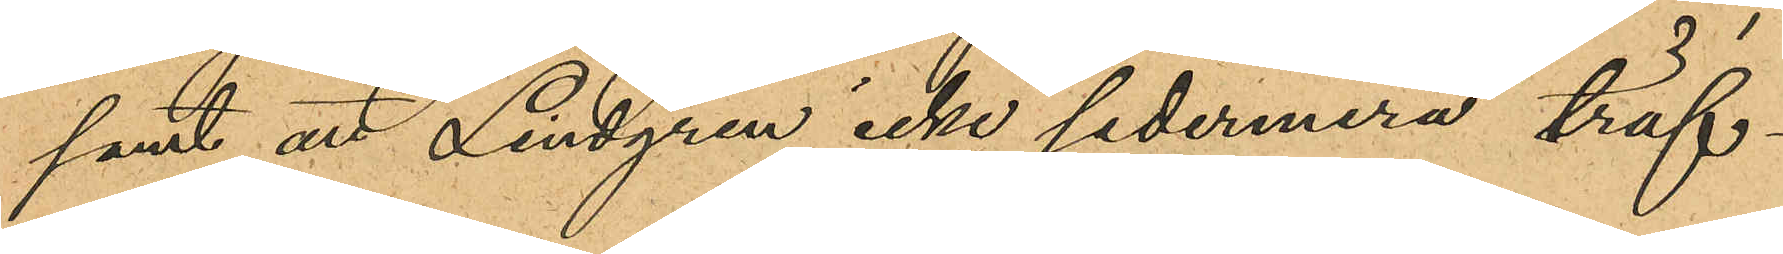samt att Lindgren icke sedermera träf¬
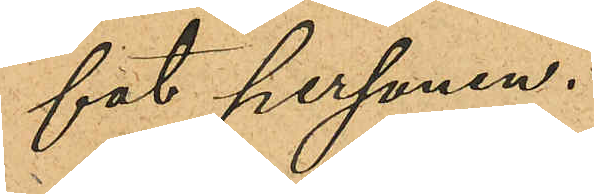fat personen.
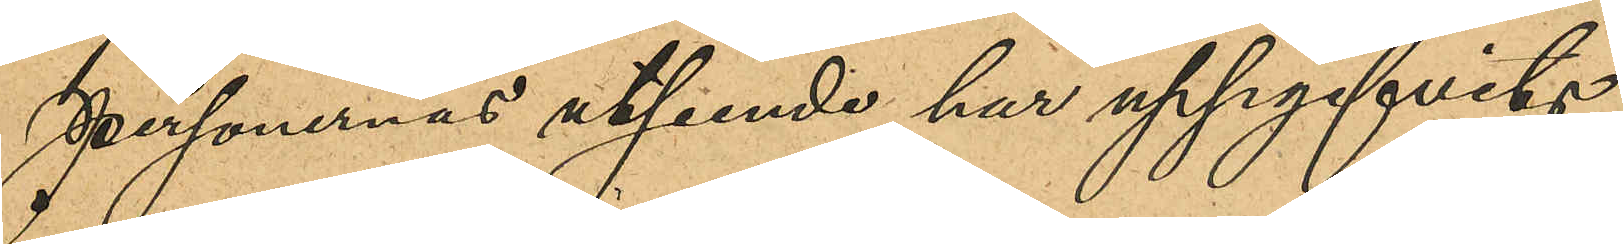Personernas utseende har uppgifvits
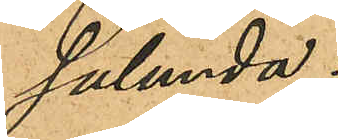sålunda:
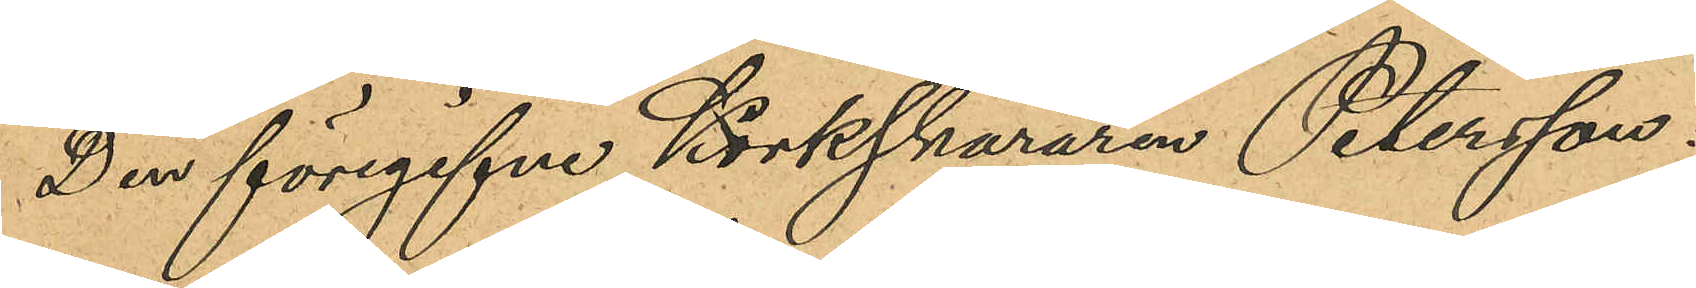Den föregifne Korkskararen Petersson:
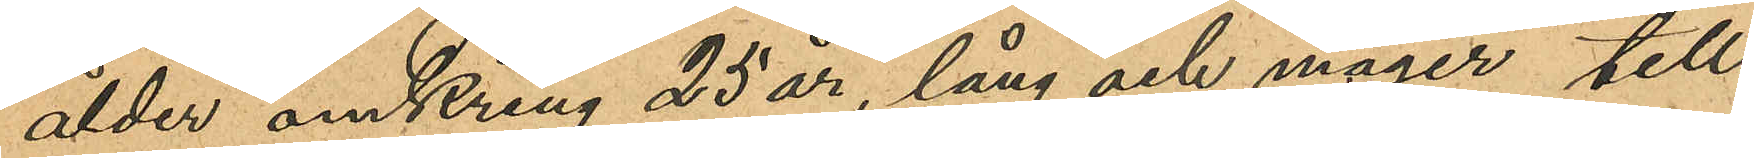ålder omkring 25 år, lång och mager till
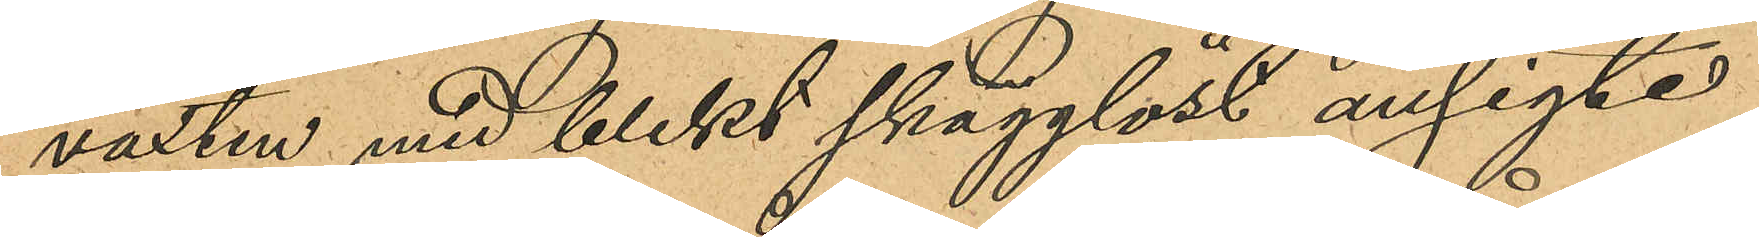växten med blekt skägglöst ansigte
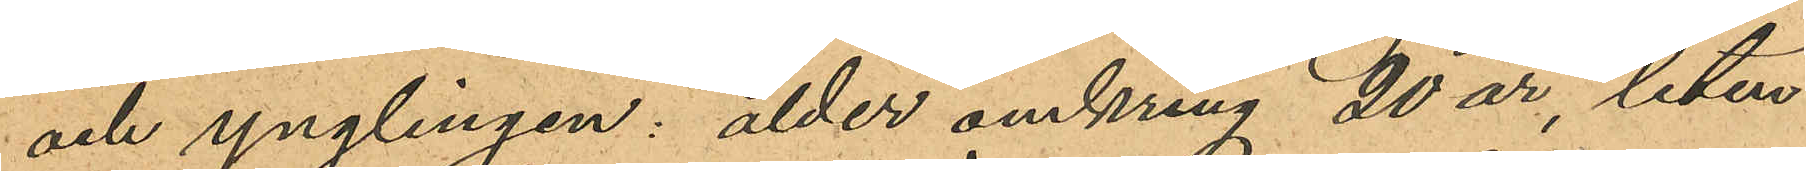och ynglingen: ålder omkring 20 år, liten
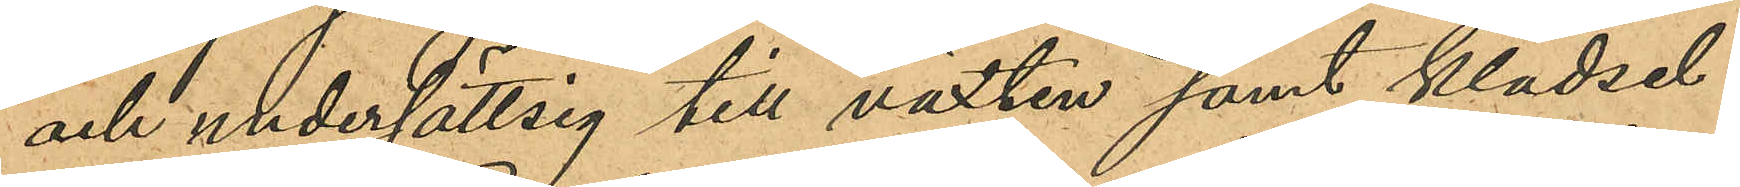och undersättsig till växten samt klädsel:
